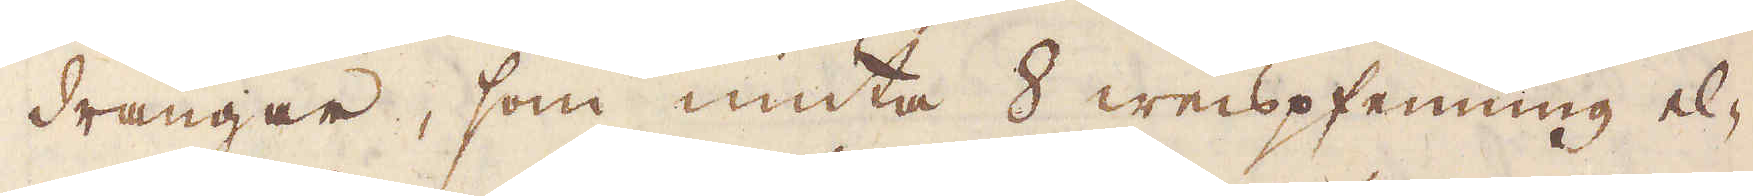drängar, som niuta 8 weispfenning el-
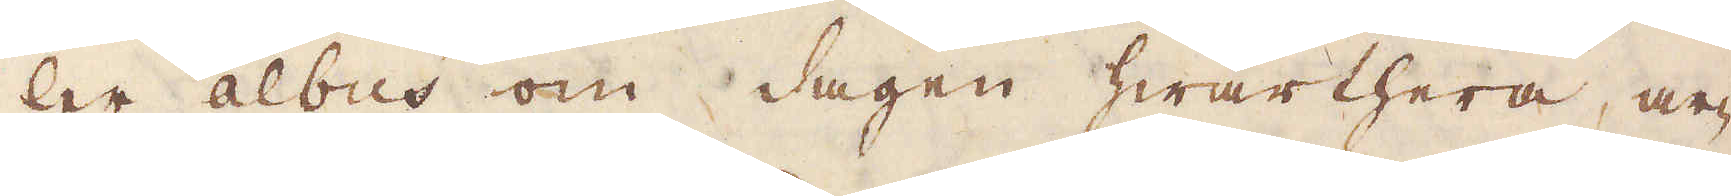ler albus om dagen hwarthera, ar-
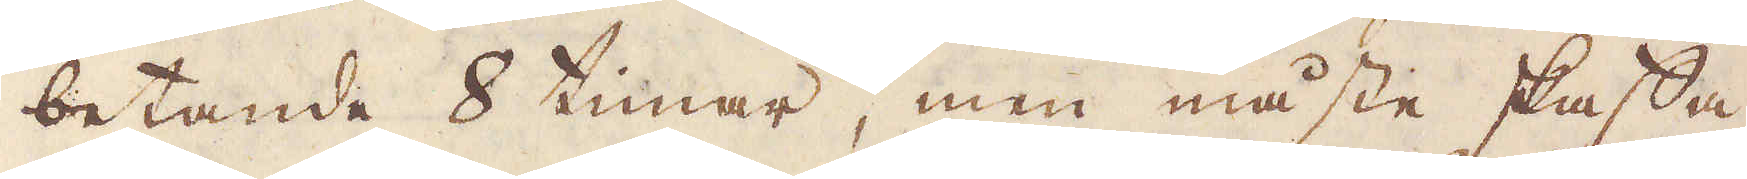betande 8 timar, men måste skaffa
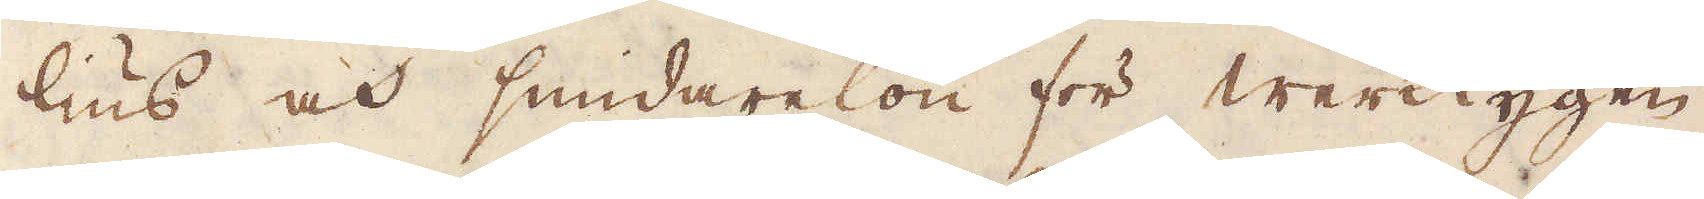lius och smidarelön för Werktygen.
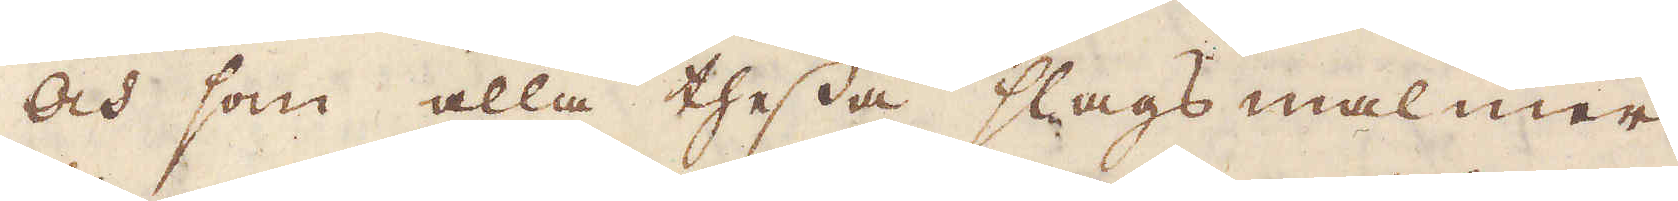Och som alla thessa slags malmer
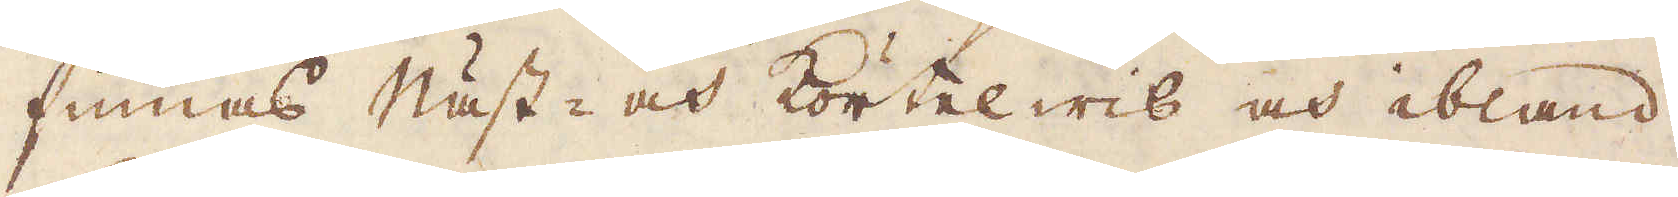finnas Näst- och Körtel wis och ibland
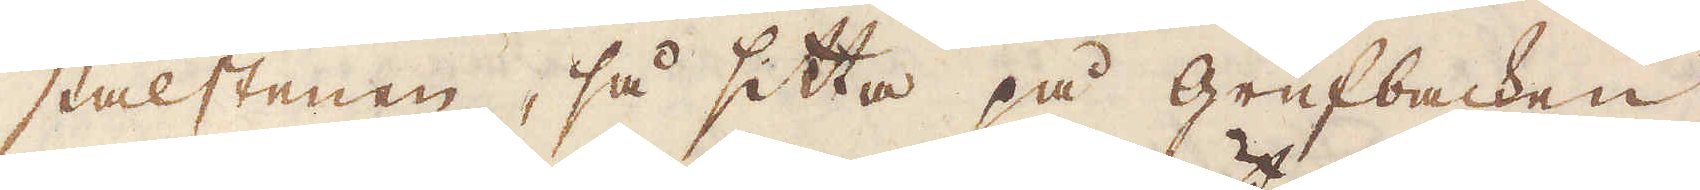stålstenen, så sitta på grufbacken
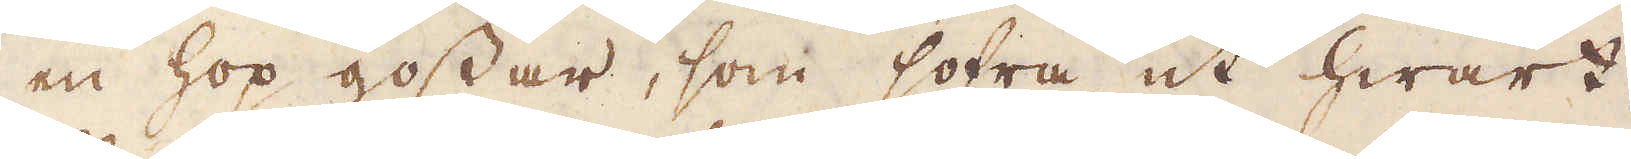en hop gossar, som sofra ut hwart
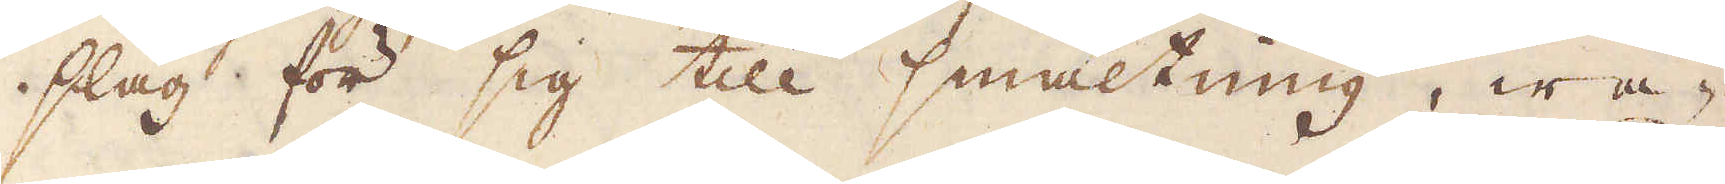slag för sig till smältning, wa-
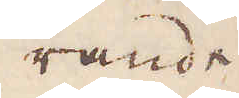rande
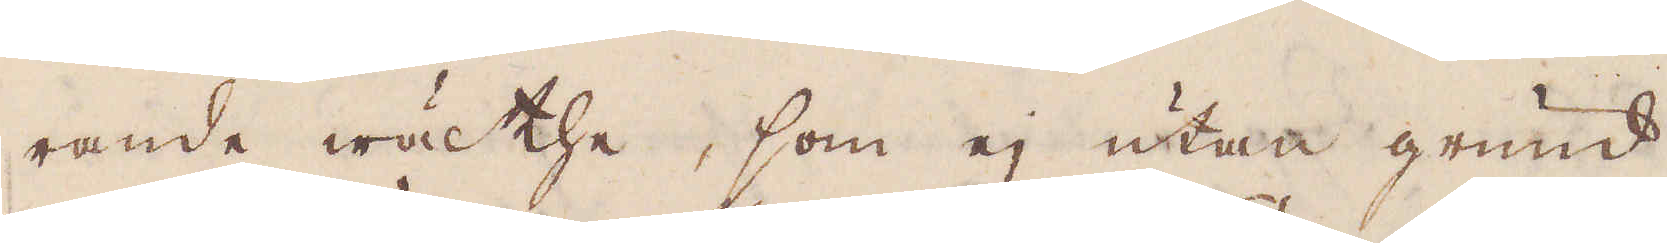rande wäl the, som ej utan grund
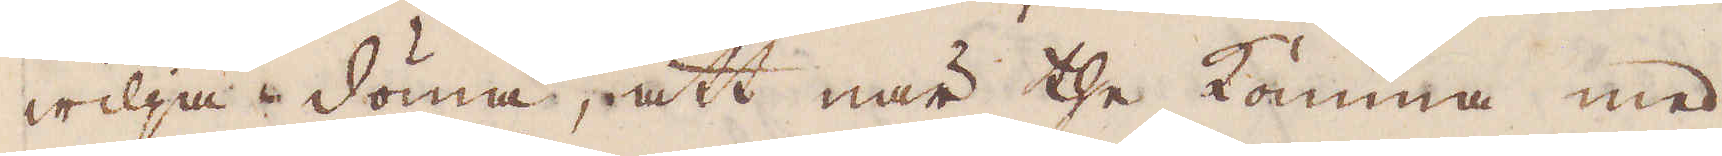wilja döma, att när the komma med
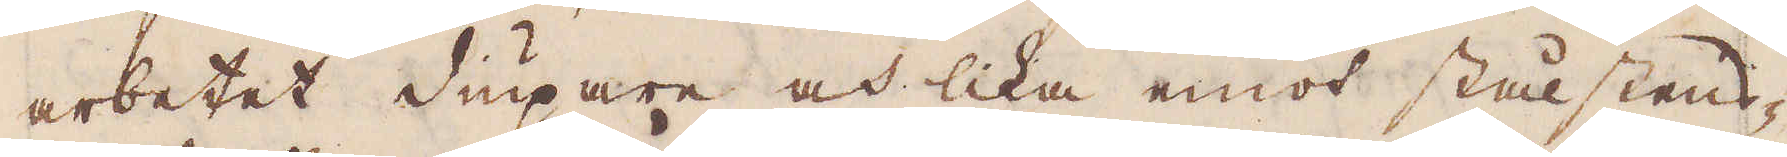arbetet diupare och lika emot stålstens-
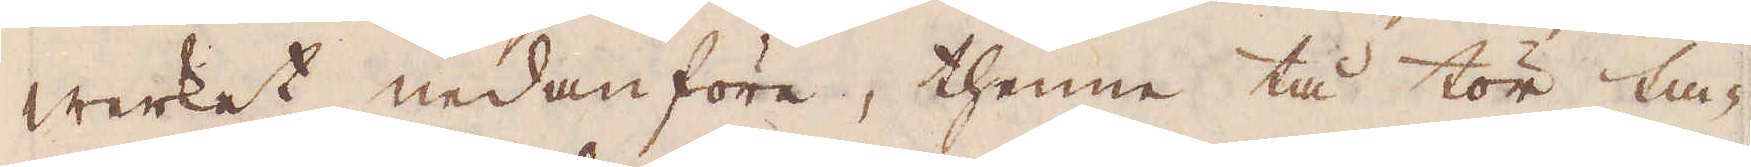werket nedanföre, thenne tå tör ta-
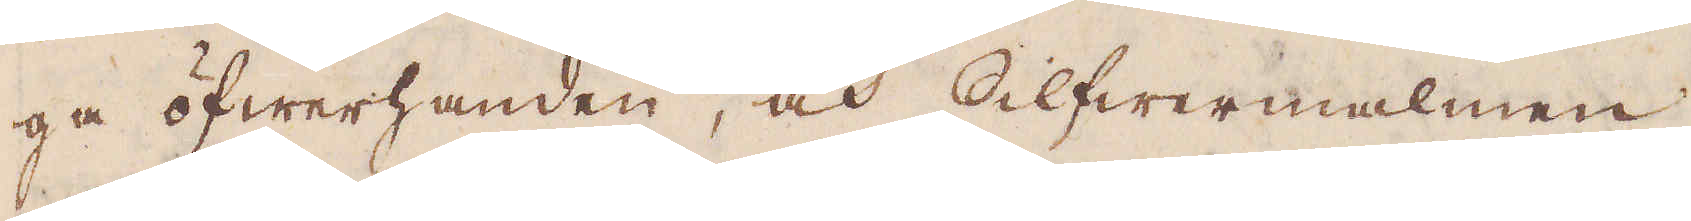ga öfwerhanden, och Silfwermalmen
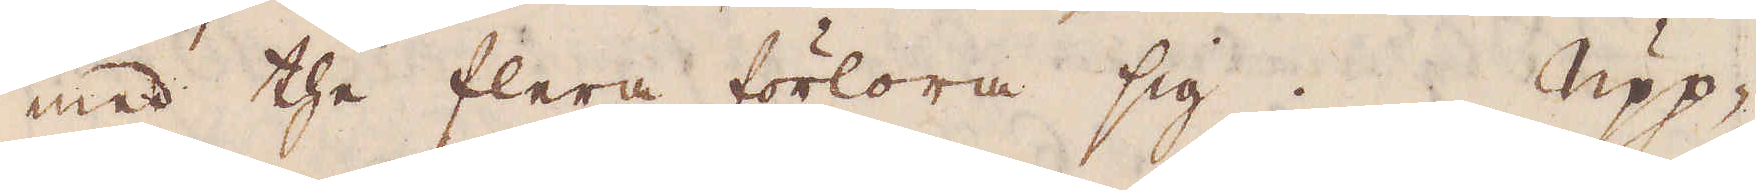med the flera förlora sig. Upp-
